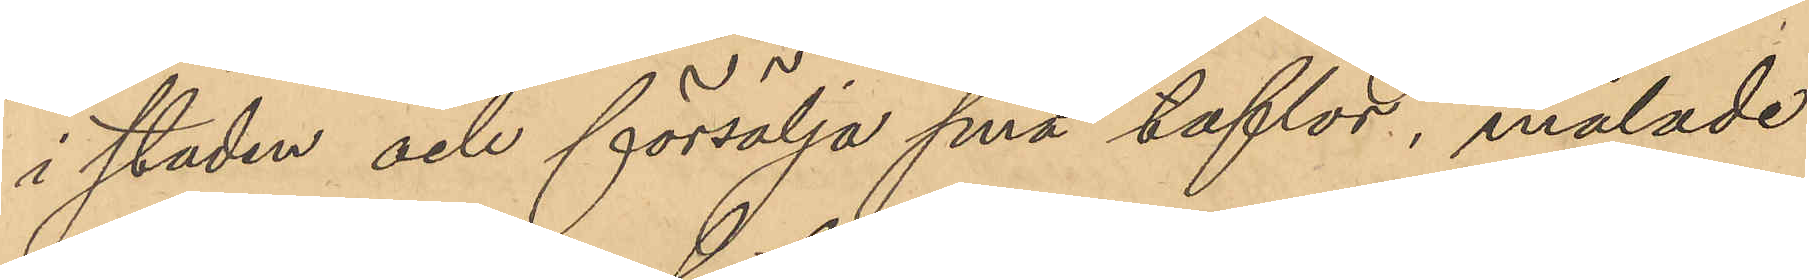i staden och försälja små taflor, målade
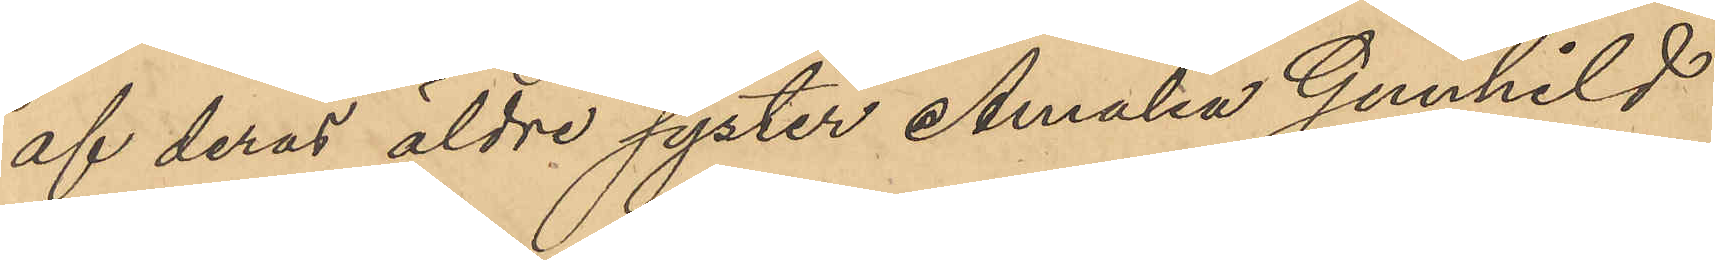af deras äldre syster Amalia Gunhild
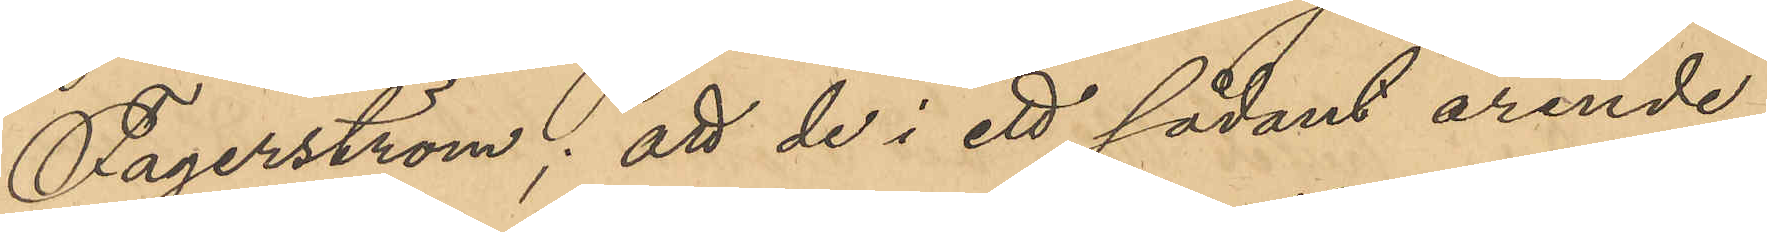Fagerström; att de i sådant ärende
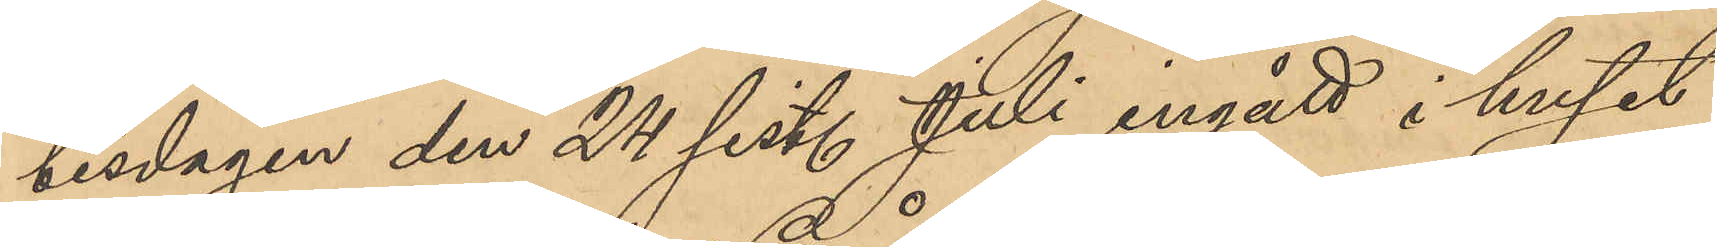tisdagen den 24 sist. Juli ingått i huset
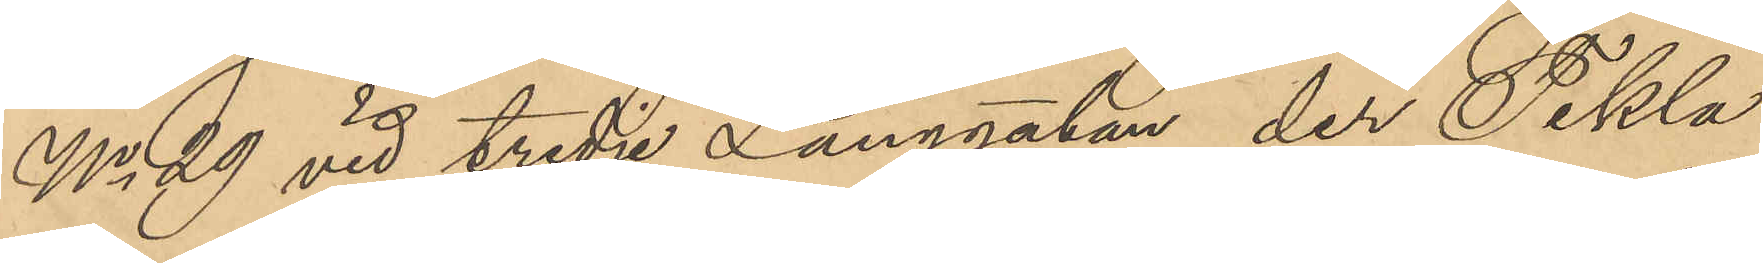No 29 vid tredje Långgatan, der Tekla
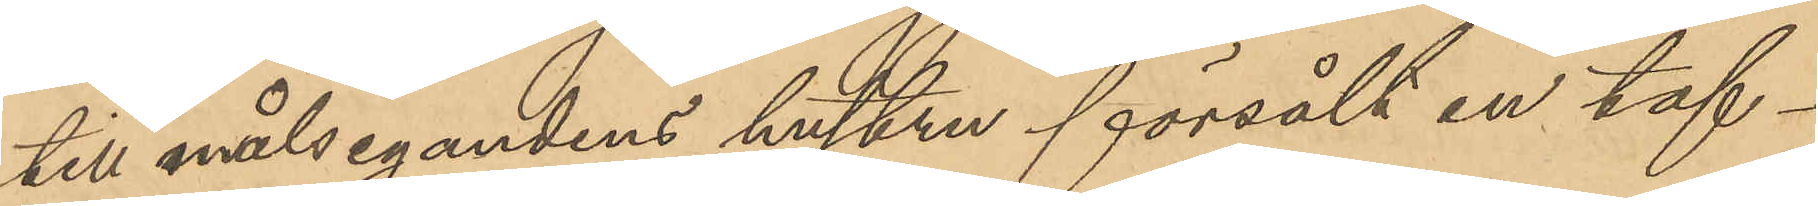till målsegandens hustru försålt en taf¬
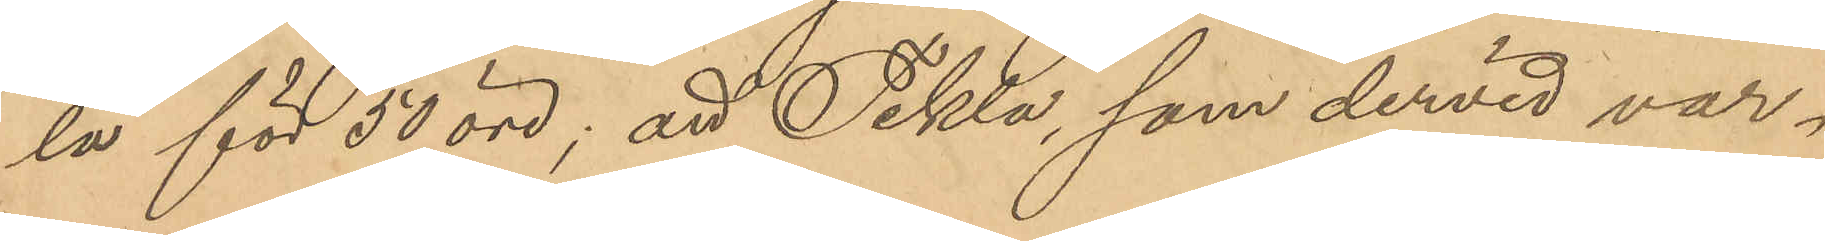la för 50 öre; att Tekla, som dervid var¬
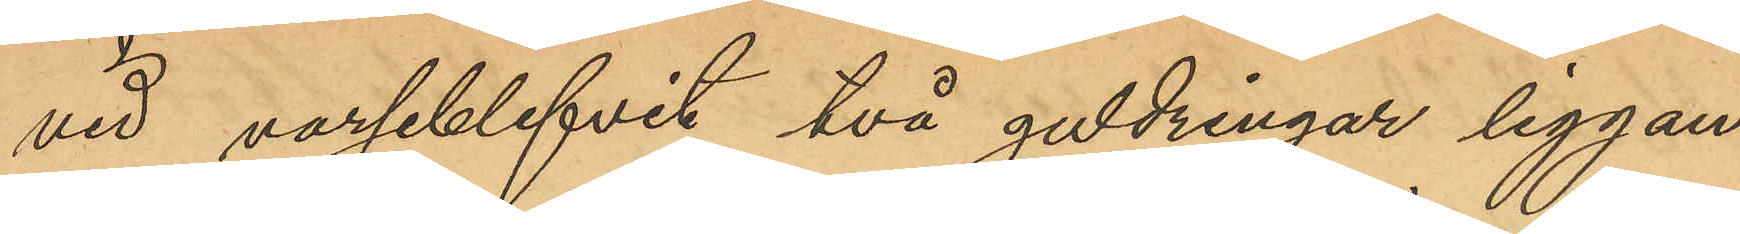vid varseblifvit två guldringar liggan¬
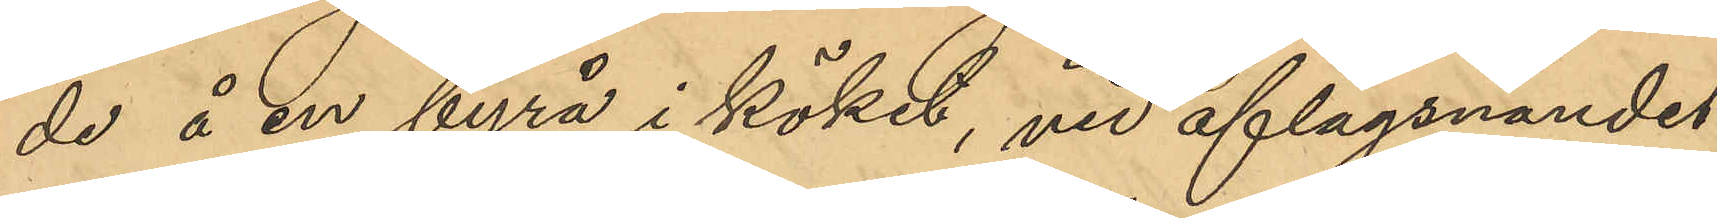de å en byrå i köket, vid aflägsnandet
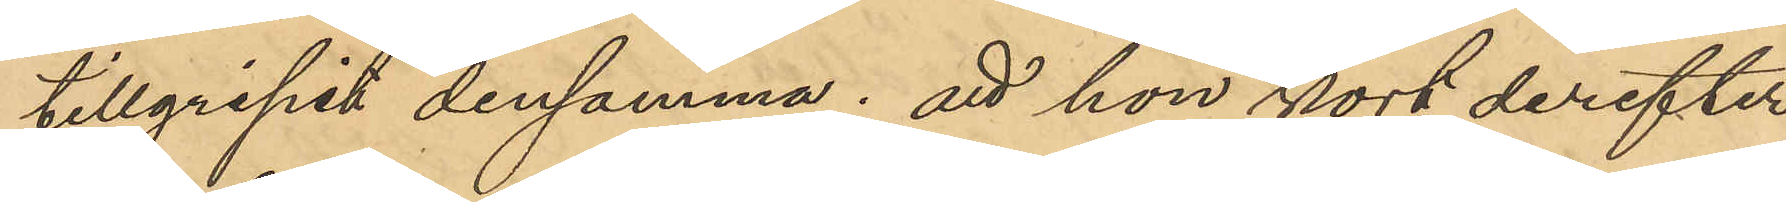tillgripit densamma; att hon kort derefter
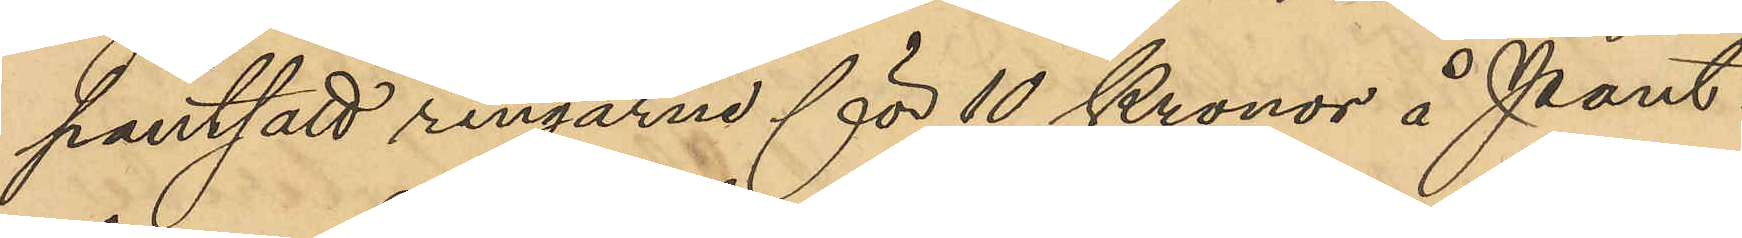pantsatt ringarne för 10 Kronor å Pant¬
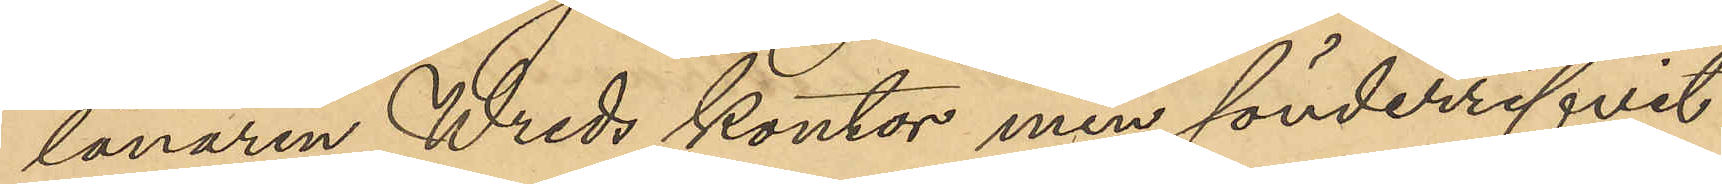lånaren Wreds kontor men sönderrifvit
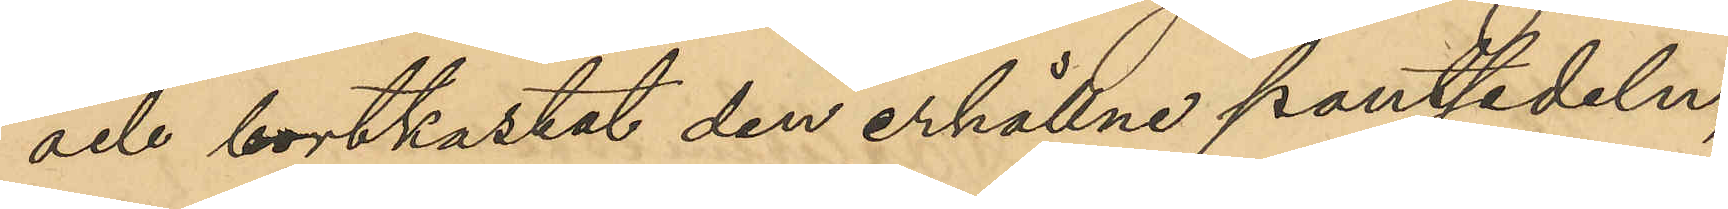och bortkastat den erhällne pantsedeln;
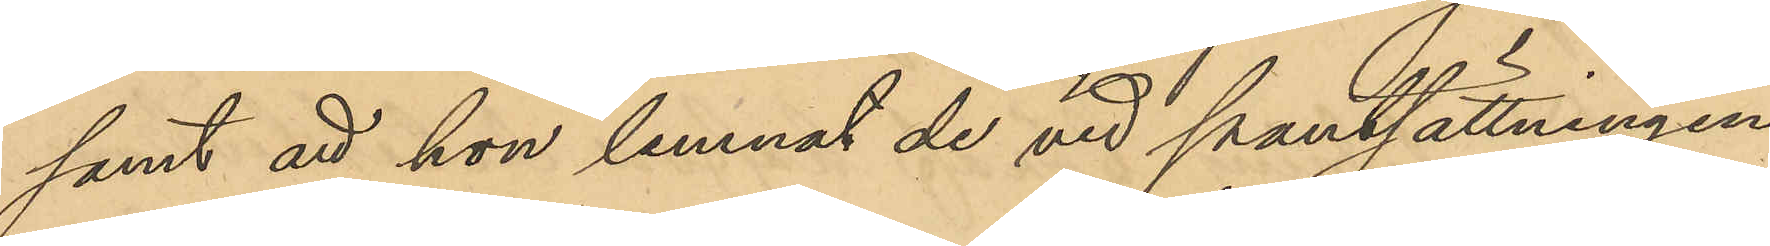samt att hon lemnat de vid pantsättningen
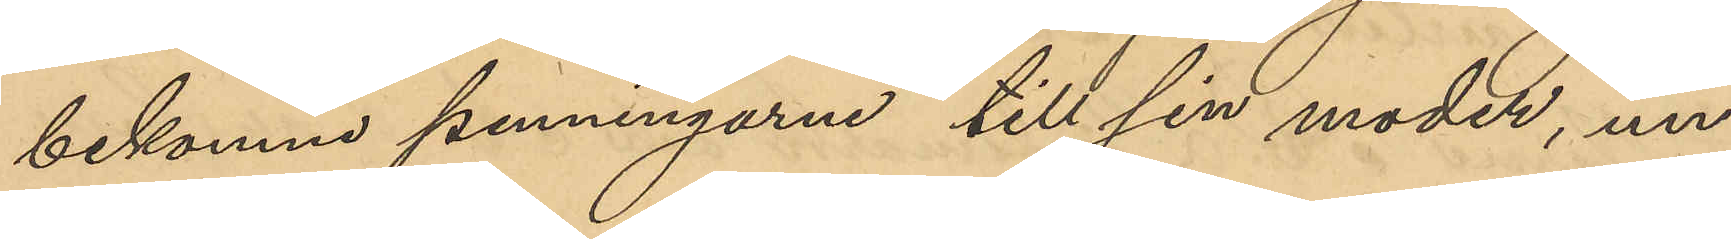bekomne penningarne till sin moder, un¬
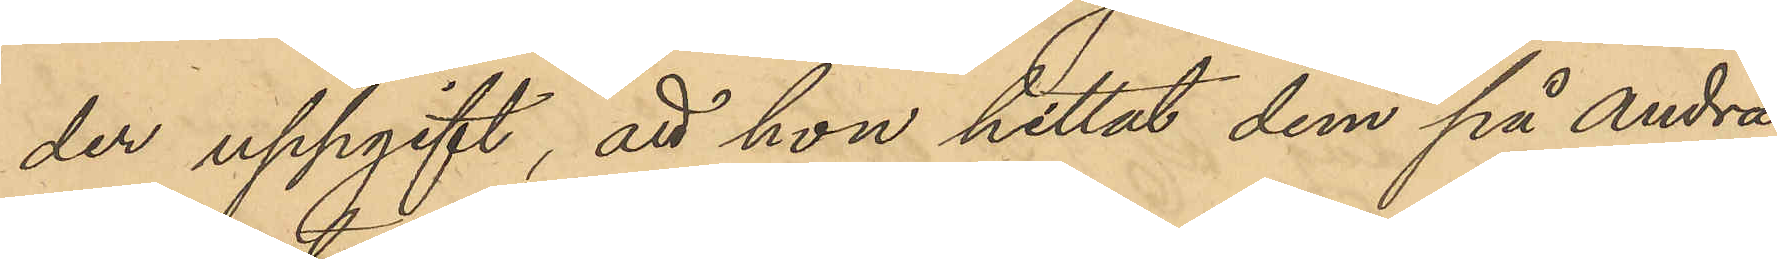der uppgift, att hon hittat dem på Andra
